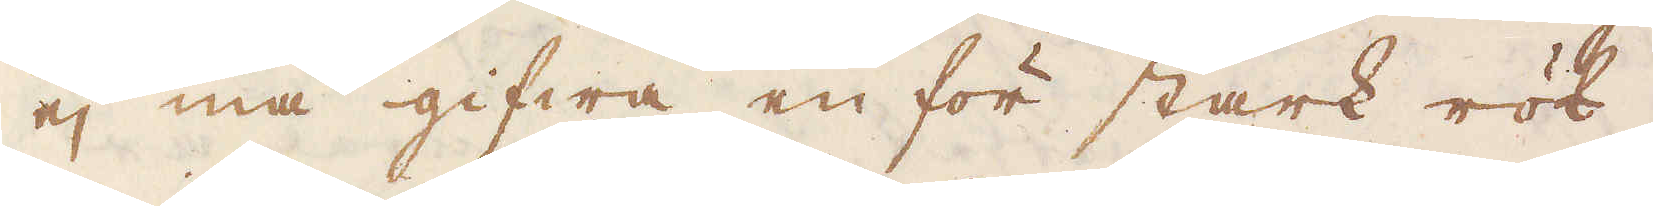ej må gifwa en för stark rök,
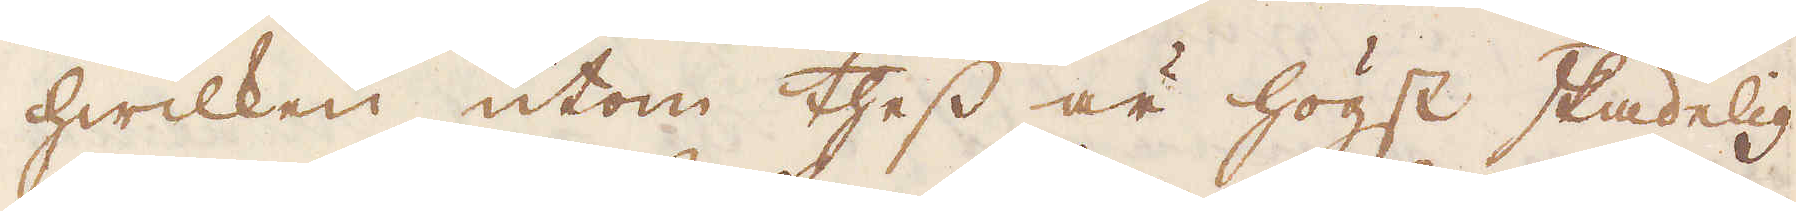hwilken utom thess är högst skadelig
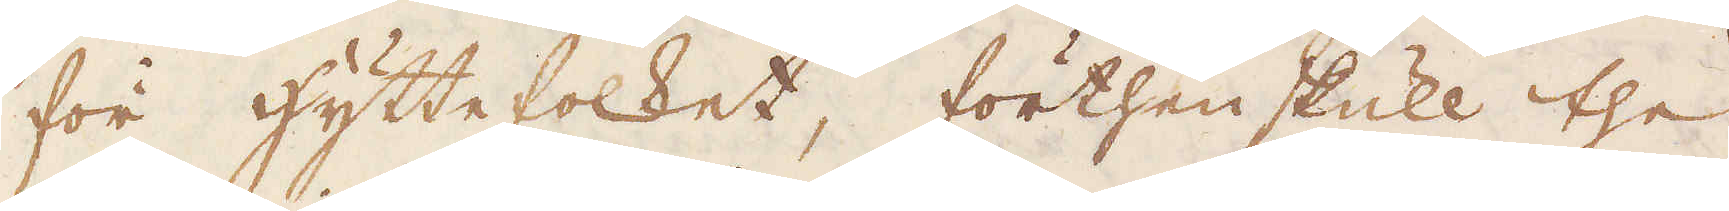för hyttefolket, förthen skull the
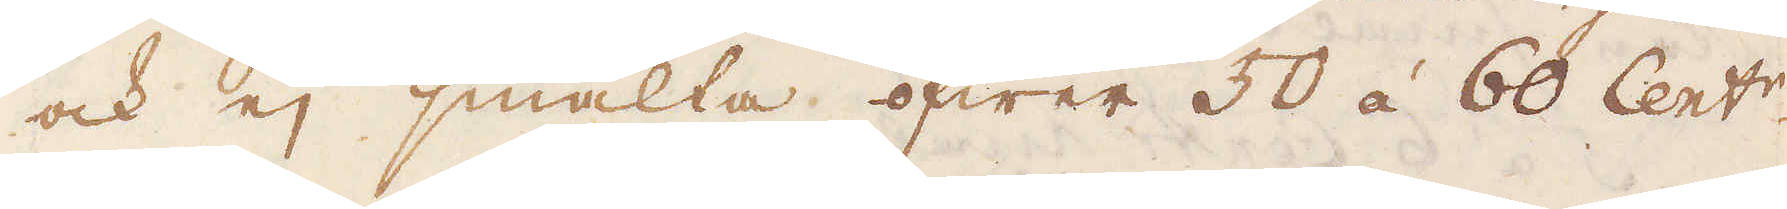ock ej smälta öfwer 50 á 60 Cent:r
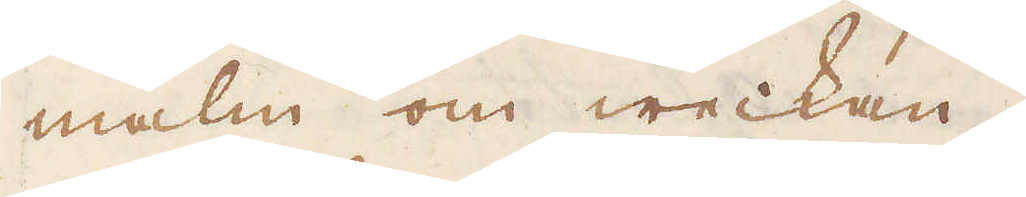malm om weckan.
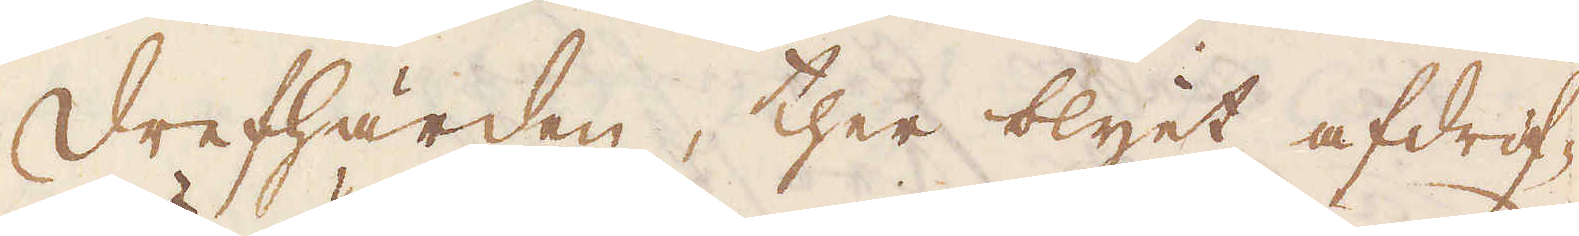Drefhärden, ther blyet afdrif-
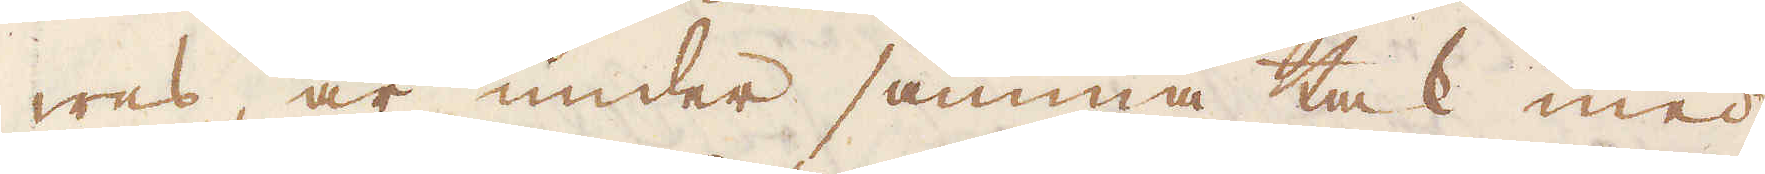wes, är under samma tak med
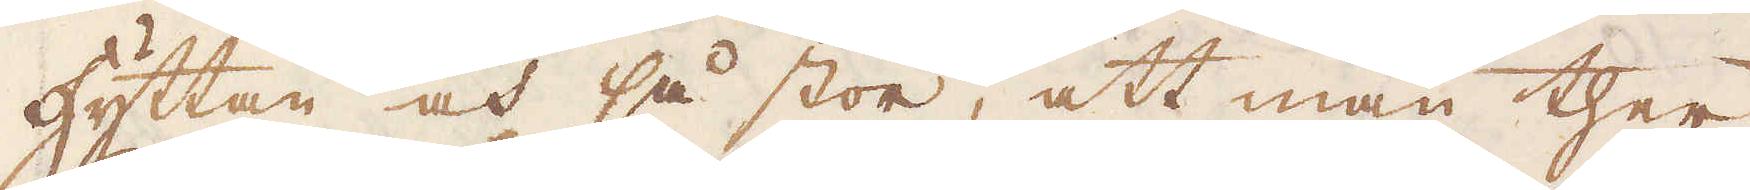hyttan och så stor, att man ther
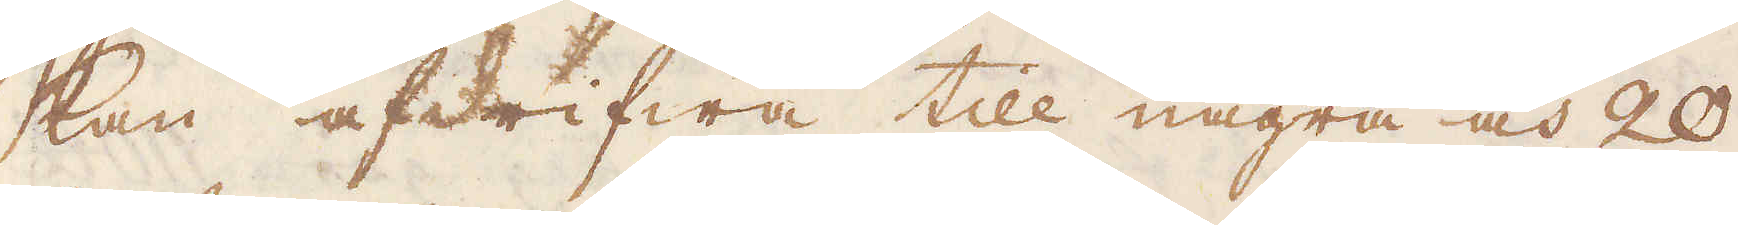kan afdrifwa till några och 20
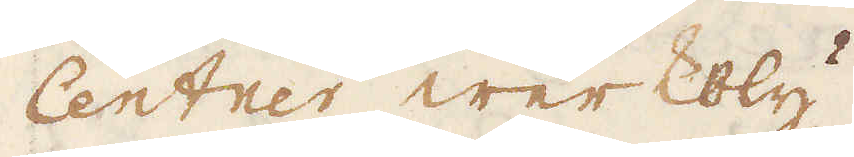Centner werkbly.
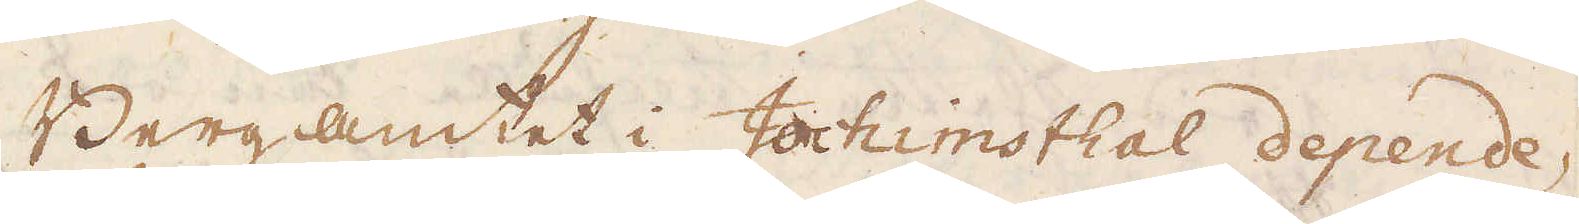Bergamtet i Jochimsthal depende-
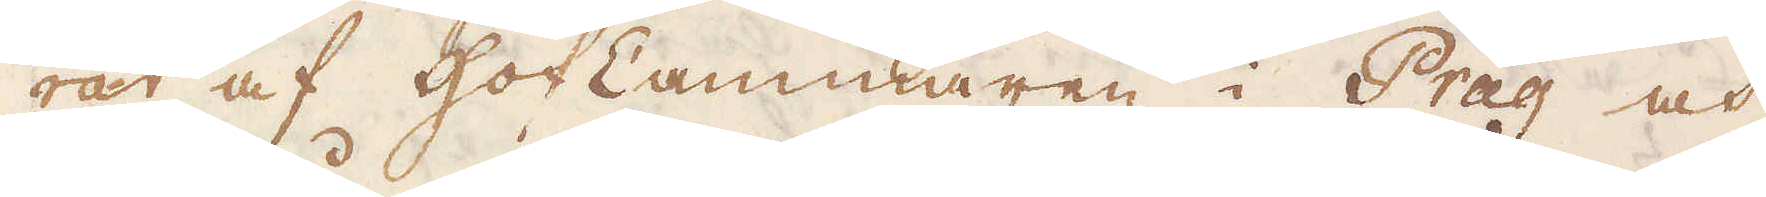rar af Hof Cammaren i Prag och
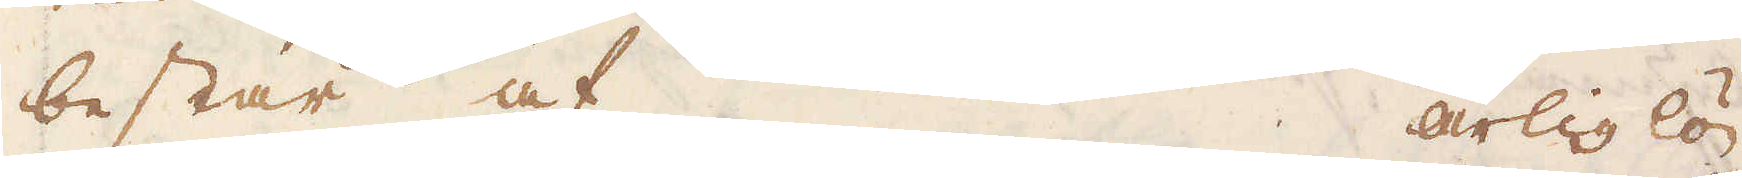består af årlig lön
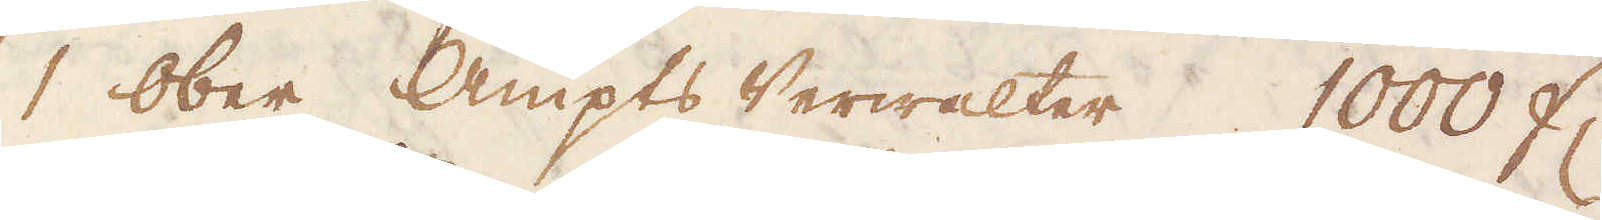1 Ober Ampts Verwalter 1000 fl.
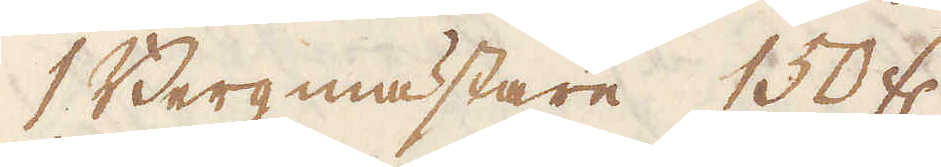1 Bergmästare 150 fl.
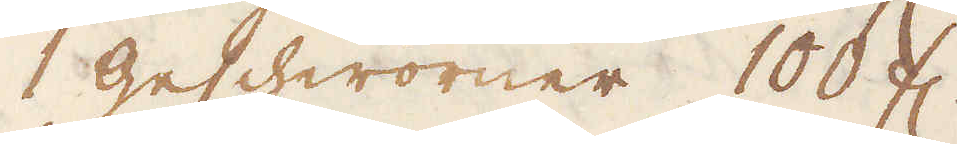1 geschworner 100 fl.
